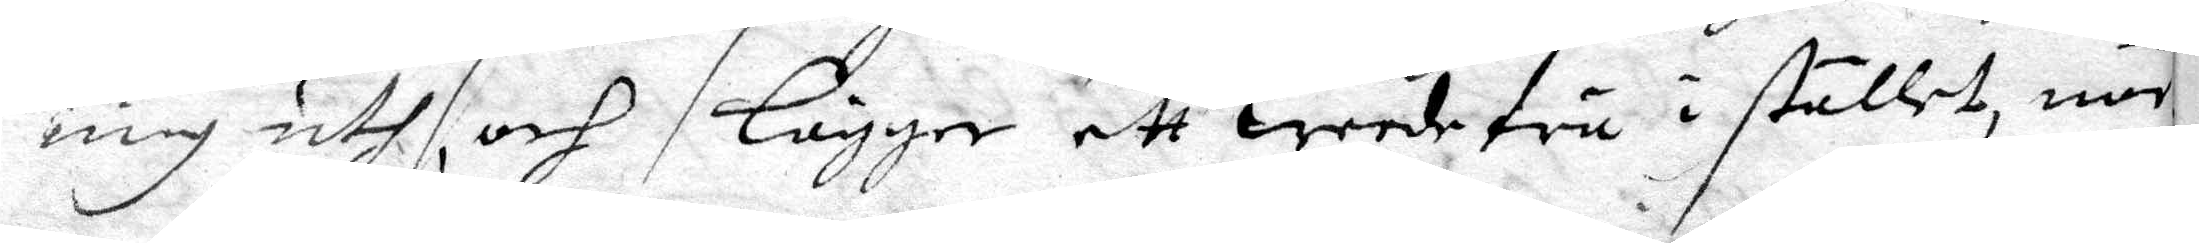mig uth och lägger ett weede trä i stället, när
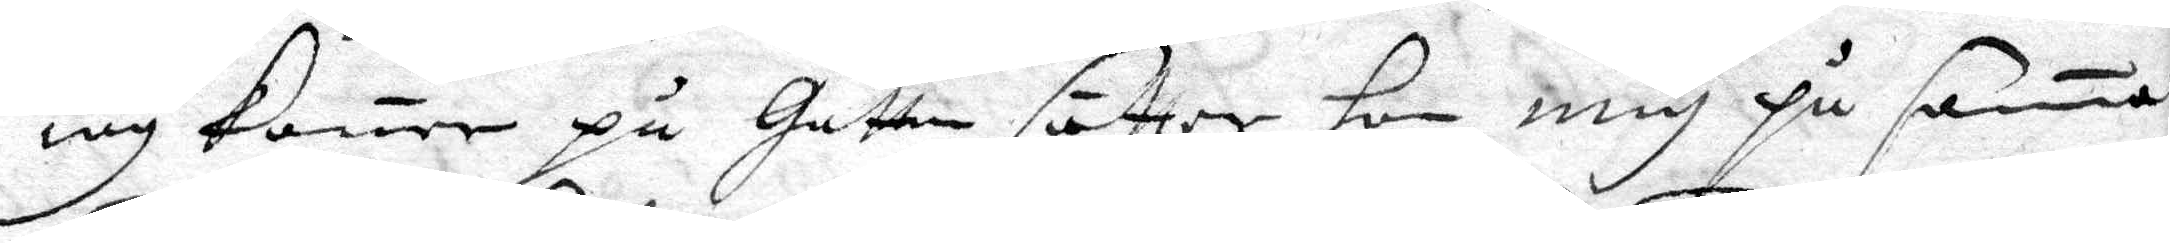iag komer på Gattan sätter hon mig på sama
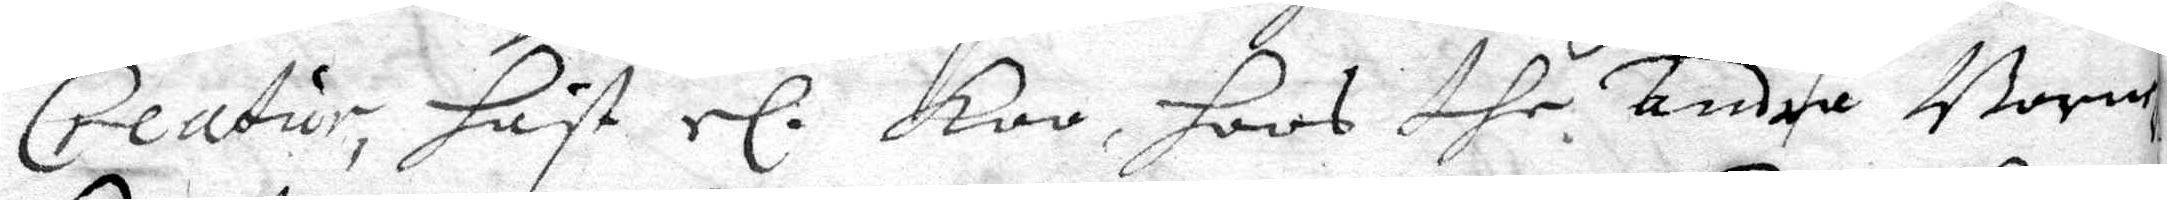Creatur, häst el koo, hoos dhe andra Barnen 
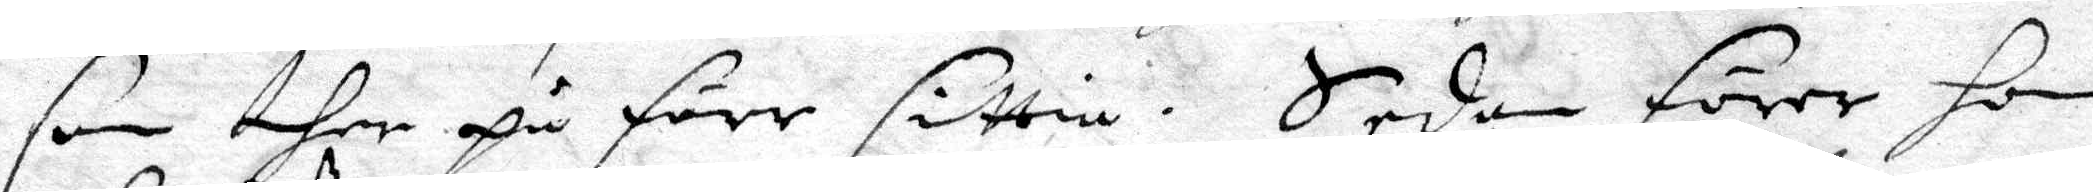som ther på förr sittia. Sedan förer hon
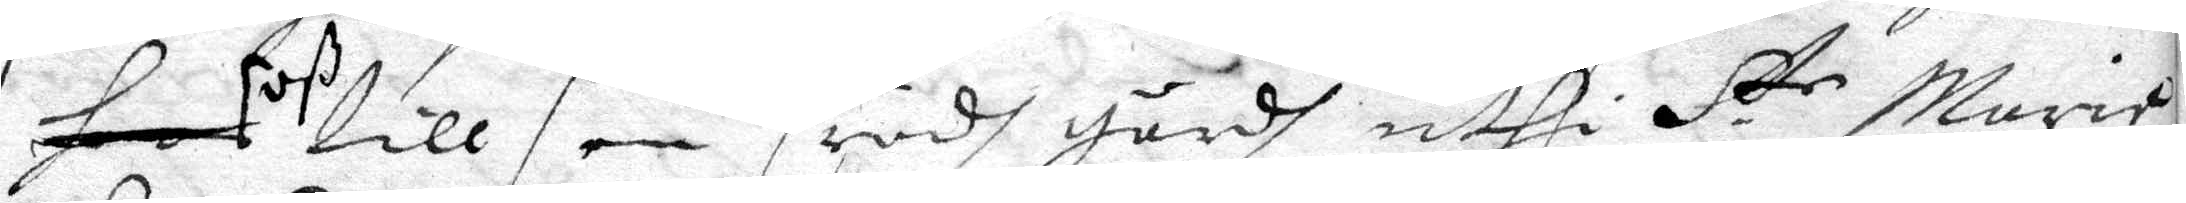hoon oß till en rödh gårdh uthi S.te Maria 
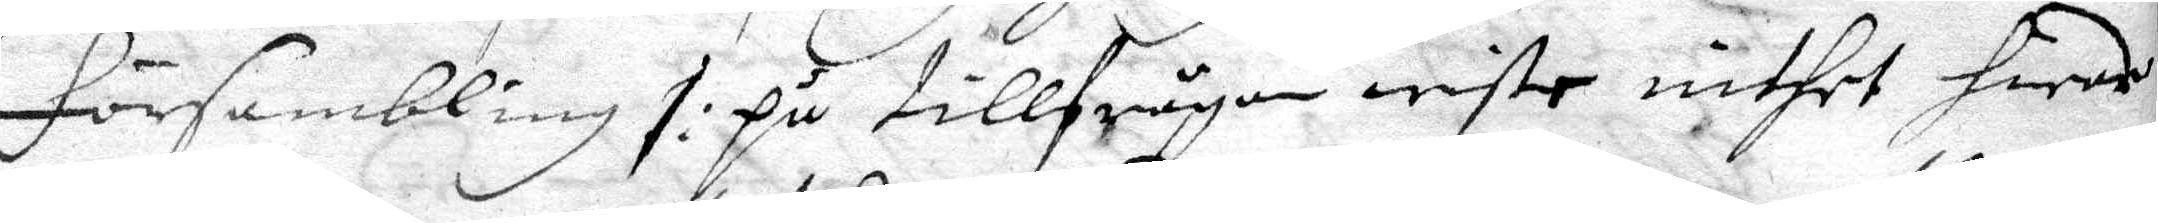försambling /:på tillfrågan wiste inthet hwar
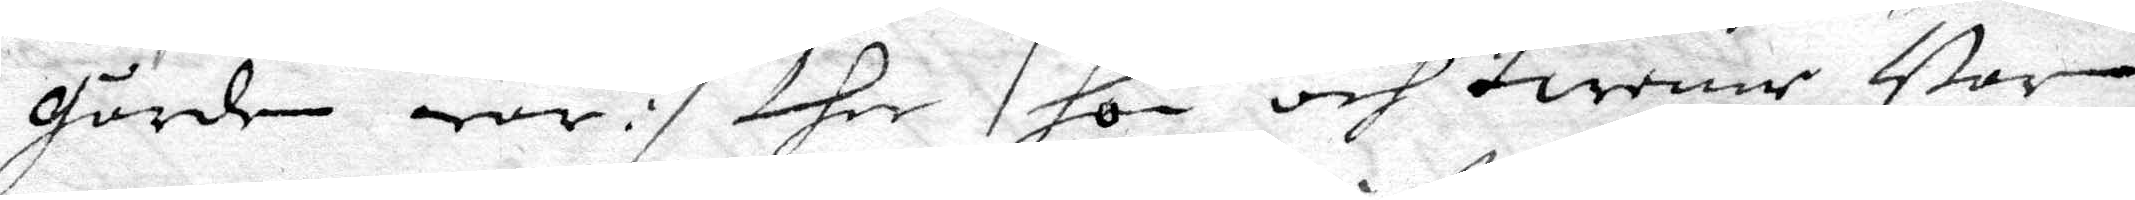gården war:/ dher hon och twenne Barn
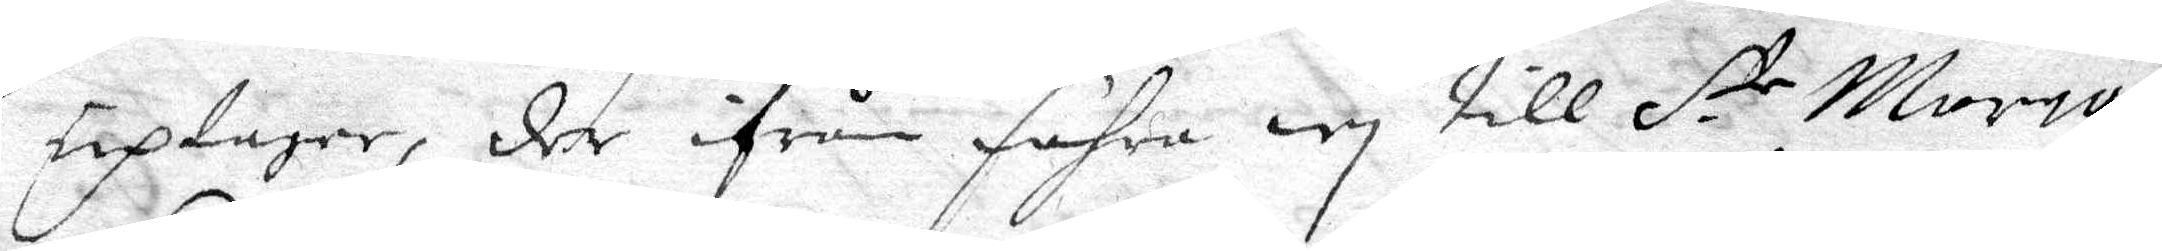uptager, der ifrån fahra wy till S.te Maria 
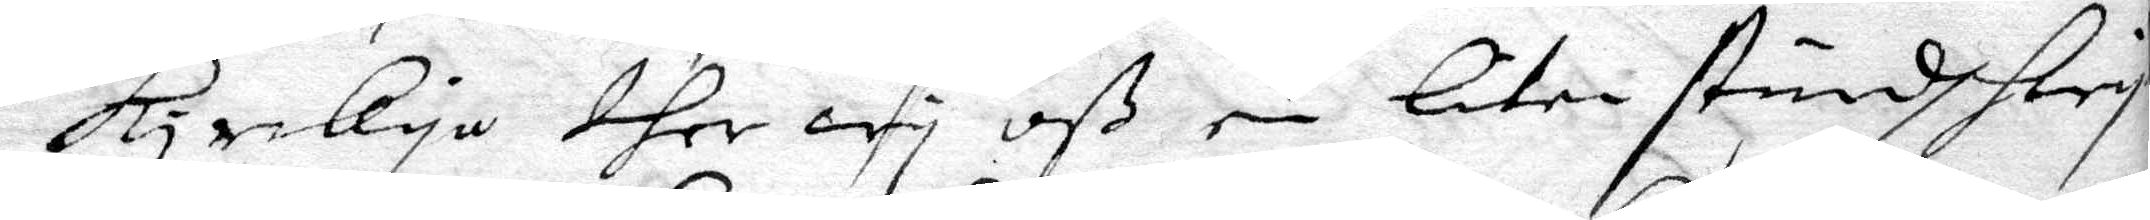kyrckya ther wy oß en liten stundh hwj¬
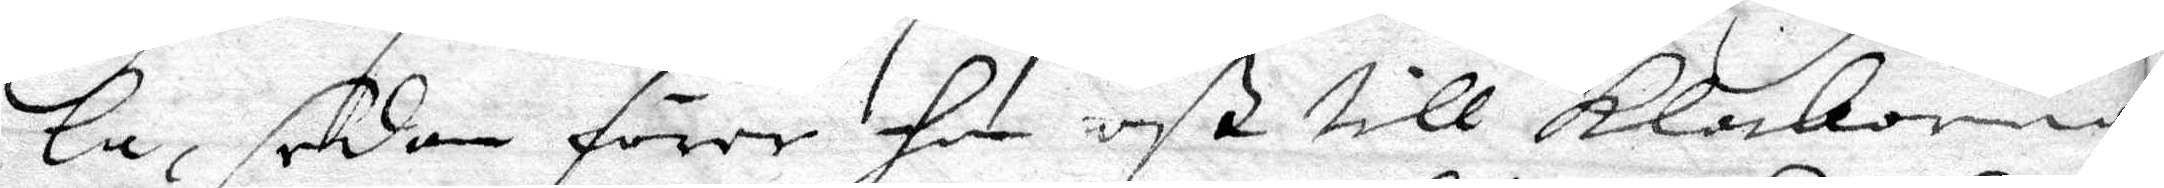la, sedan förer hon oß till klockorna
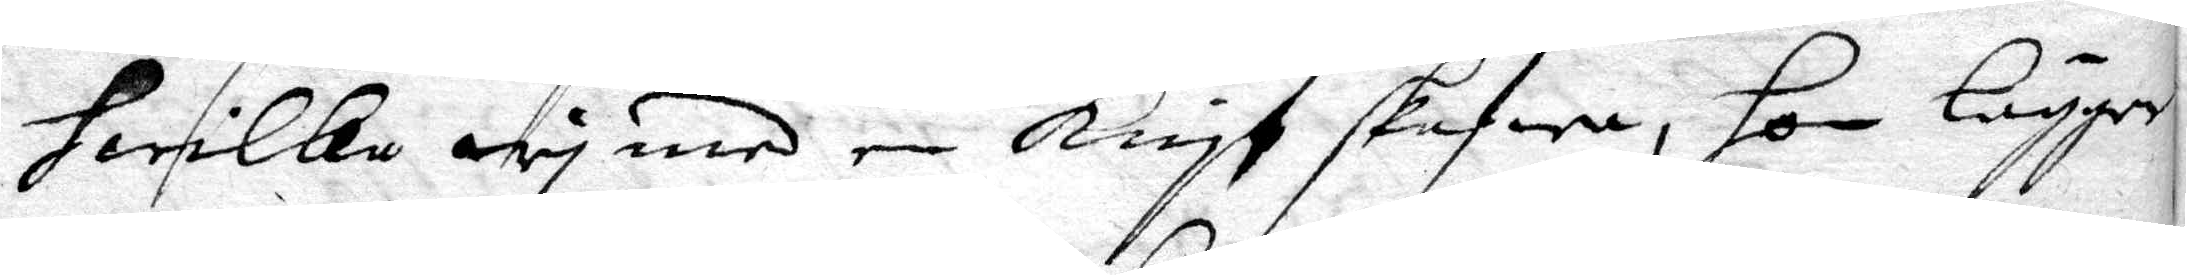hwilka wy med en knyf skafwa, hon lägger
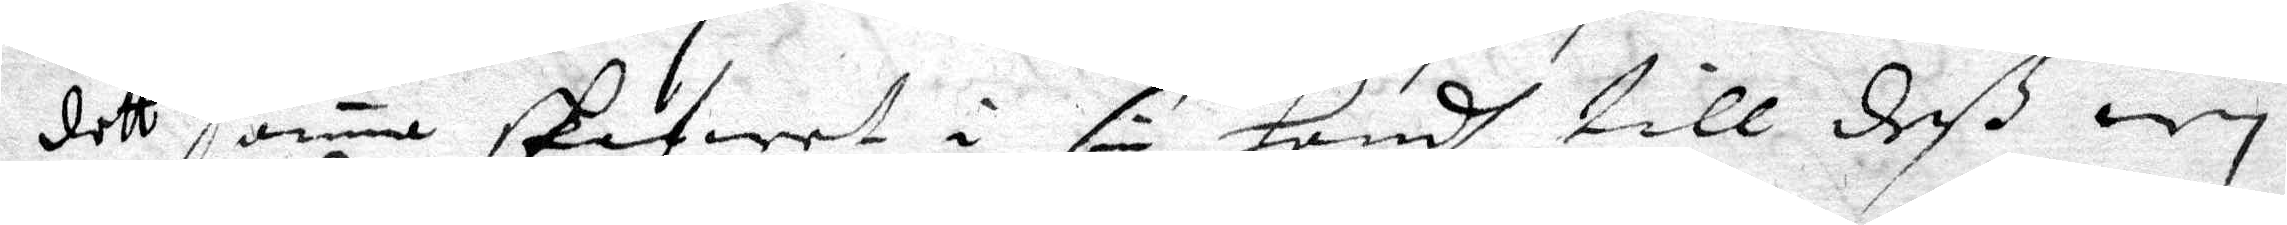dett samma skafwet i sin handh till deß wy
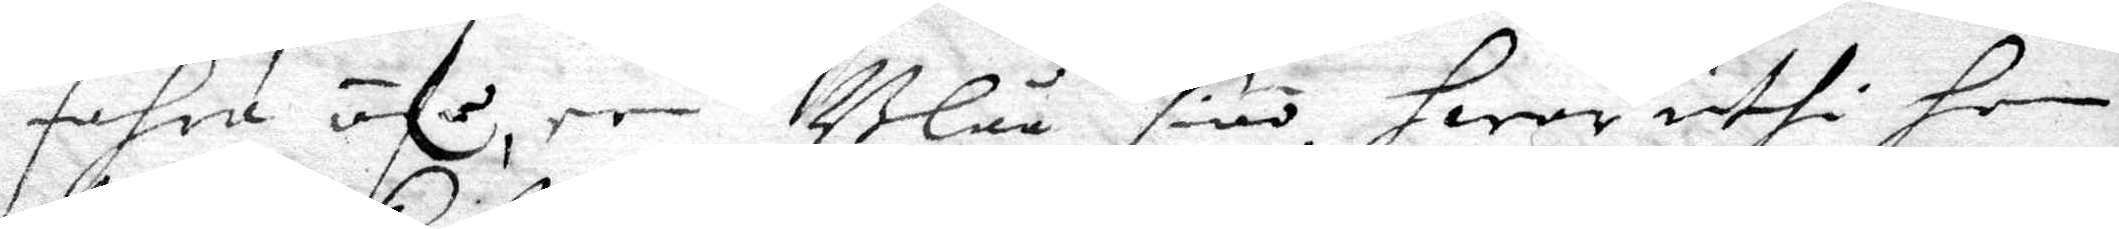fahra öfr en Blaå siöö, hwar uthi hon 
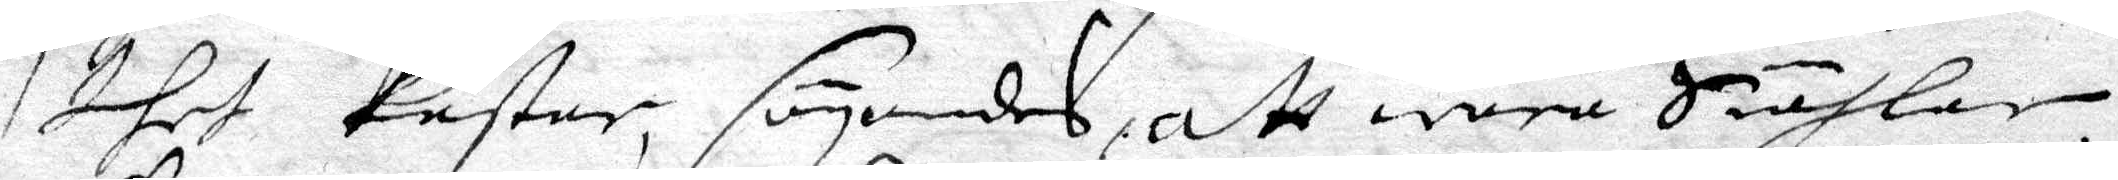thet kastar, säyandes, att wåra Siählar
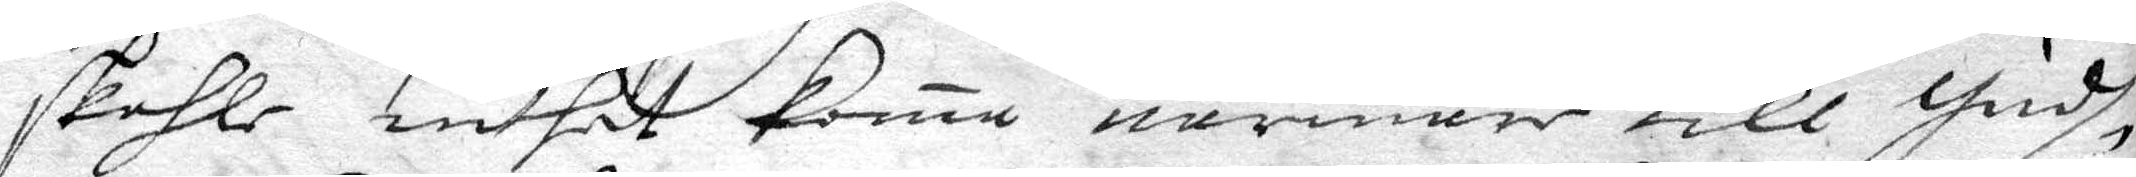skuhle inthet koma närmare till Gudh
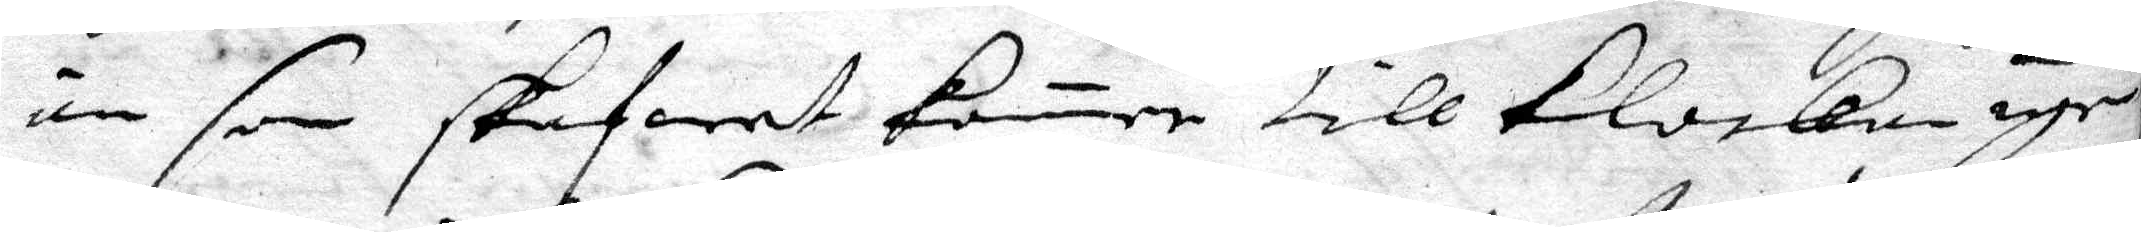än som skafwat komer till Klockan igen
